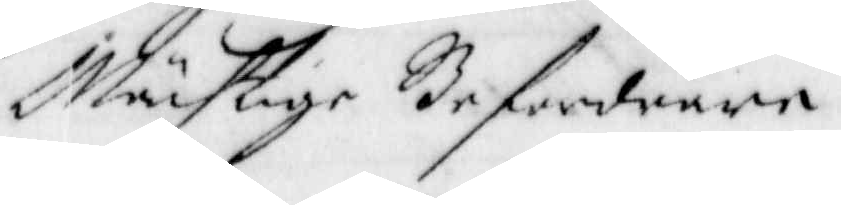Mächtige Befordrare
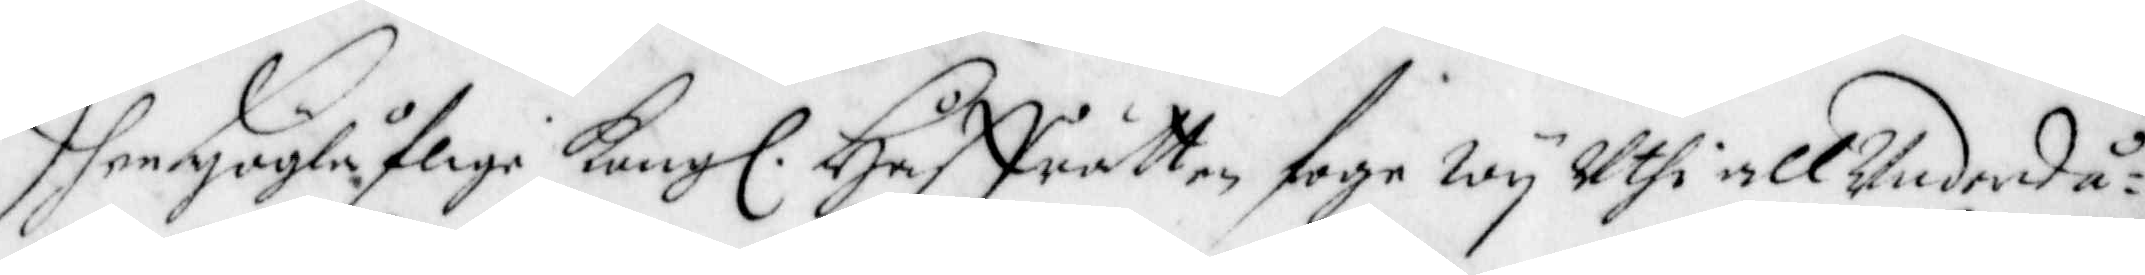Dhen Höglåflige Kong. Håffrätten foge Wij Uthi all Underdå¬
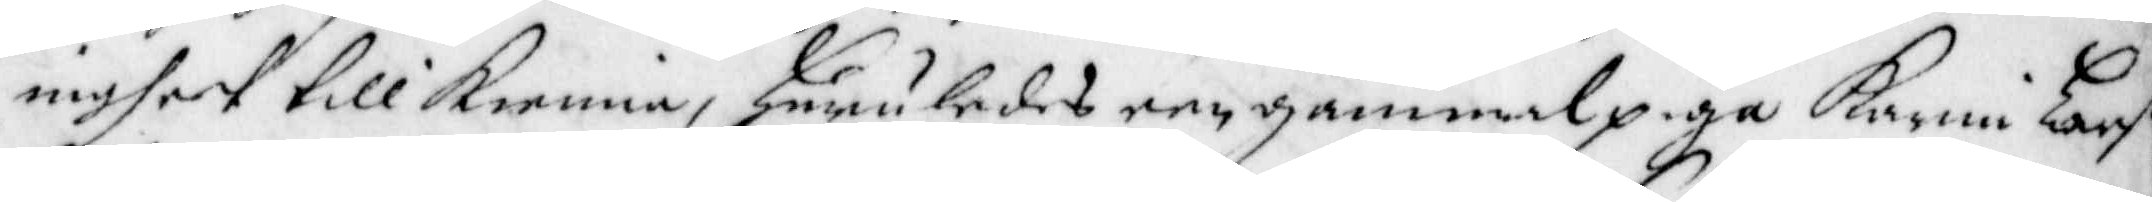nighet till Kienna, huruledes een gammal piga Karin Lars
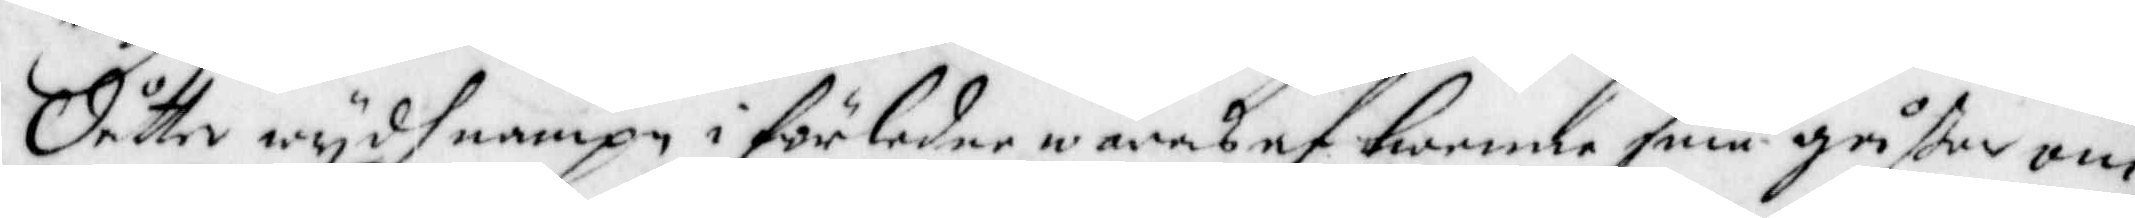Dåtter wijdh nampn i förledne wåras af twenne små gåsser om
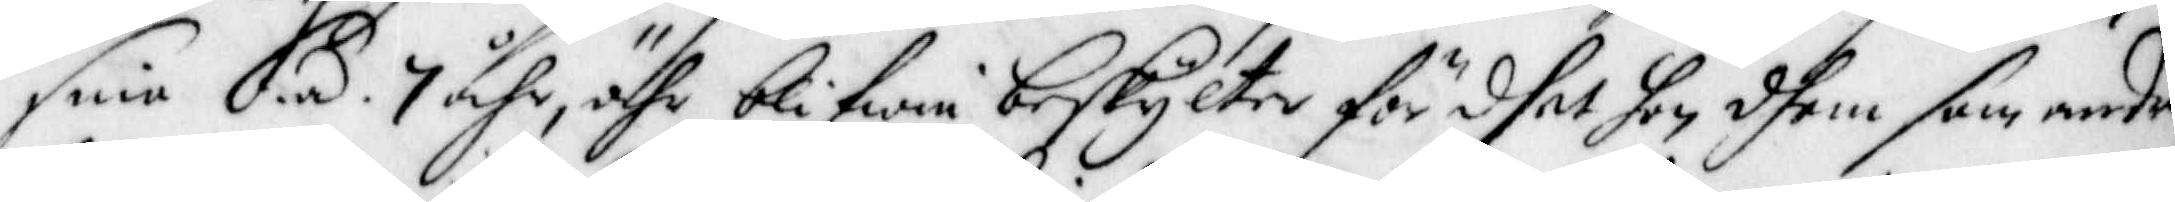sine á 7 åhr, ähr blifwen beskylter för dhet hon dhem som andre
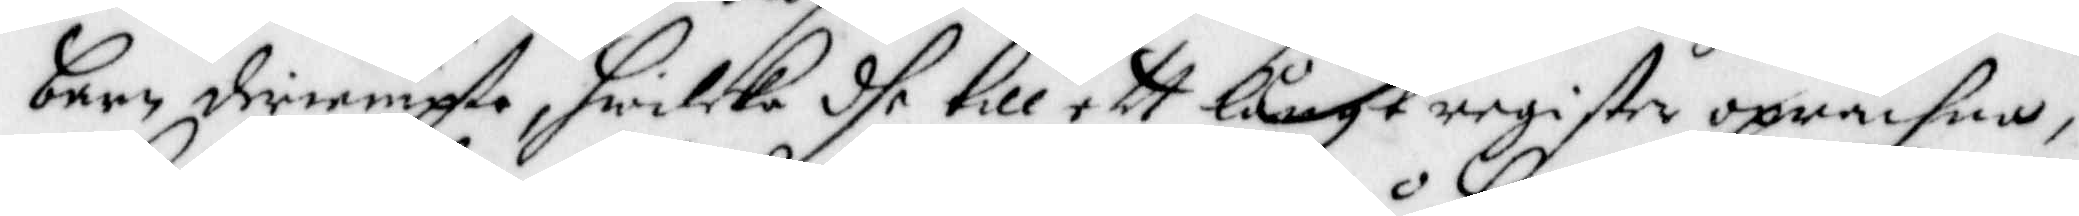barn deriempte, hwilcka dhe till ett långt register oprächna,
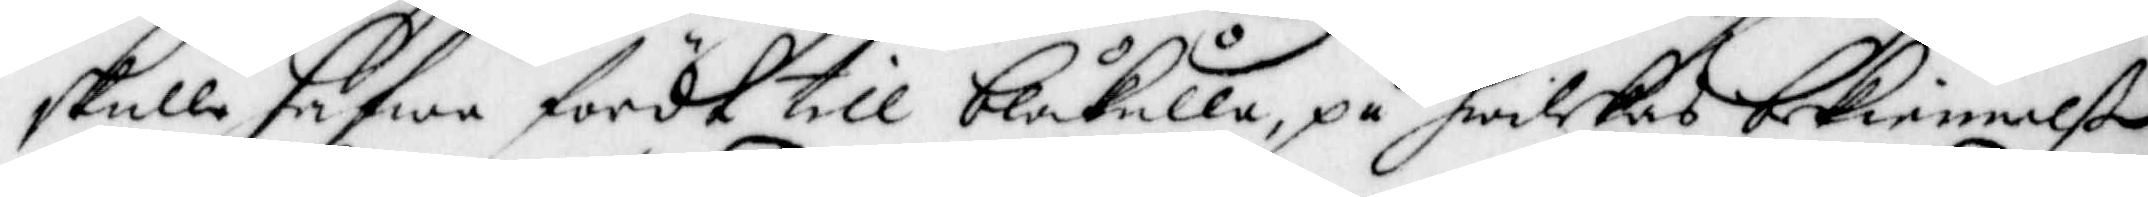skulle hafwa fördt till blåkulla, på hwilckas bekiennelße
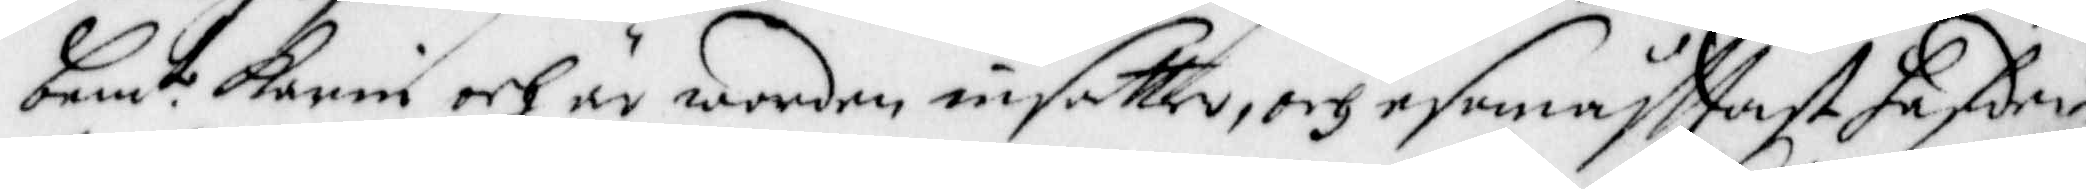bem.te Karin och är worden insatter, och esomåfftast hafder
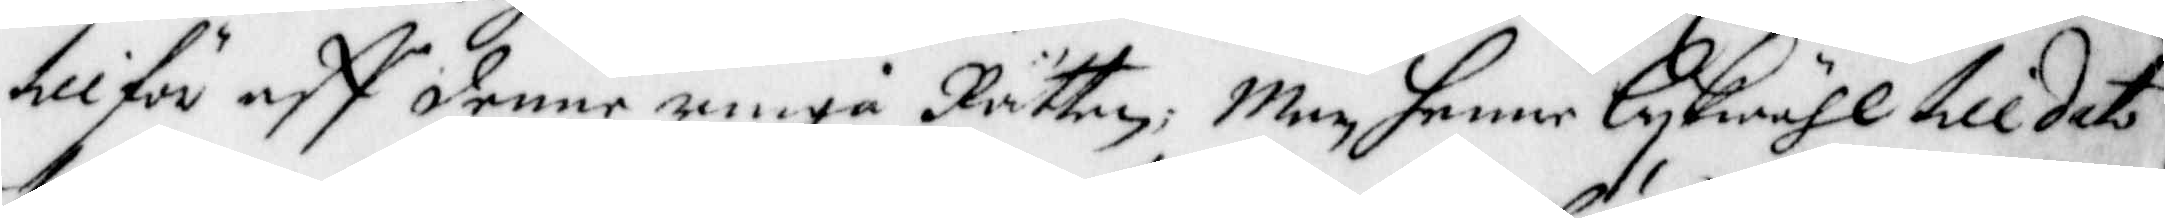tilför aff denne ringa Rätten; Men henne Likwähl till dato
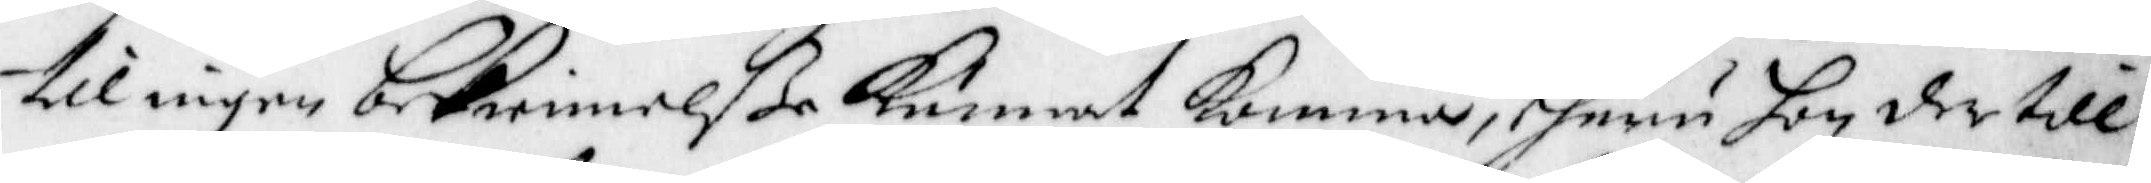til ingen bekiennelße Kunnat Komma, ehuru hon der till
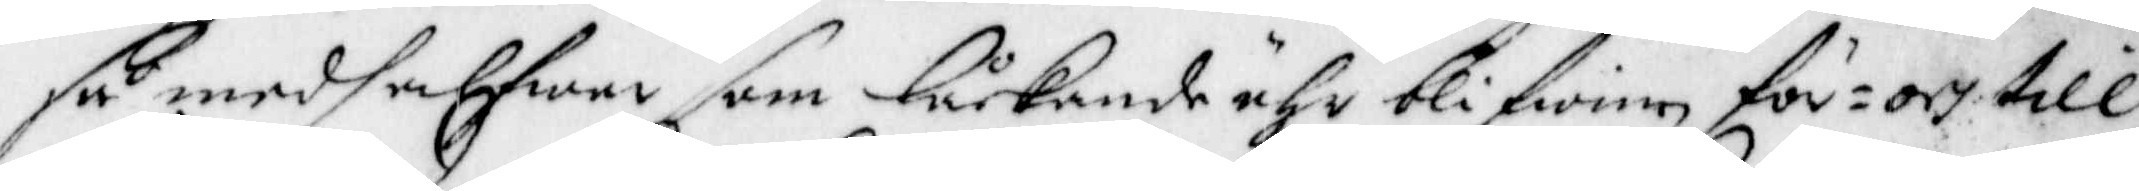så medh alfwar som låckande ähr blifwen för¬ och till¬
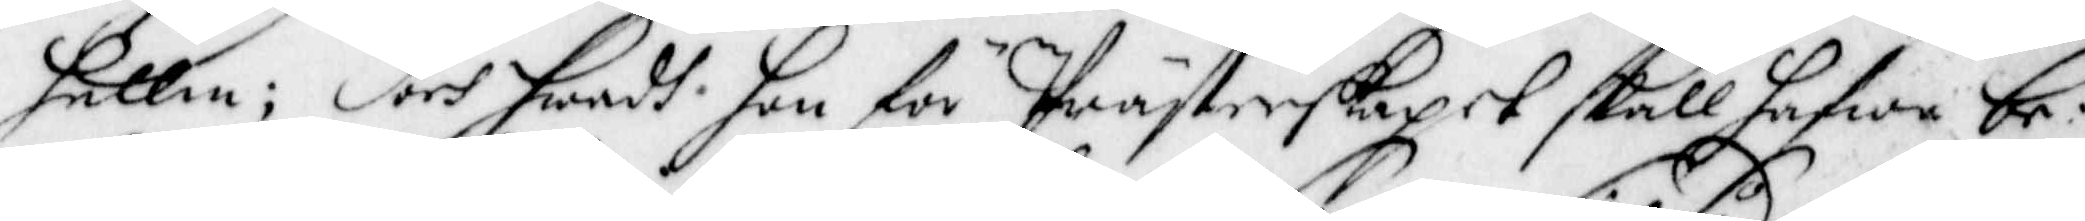hållen; Doch hwadh hon för Prästerskapet skall hafwa be¬
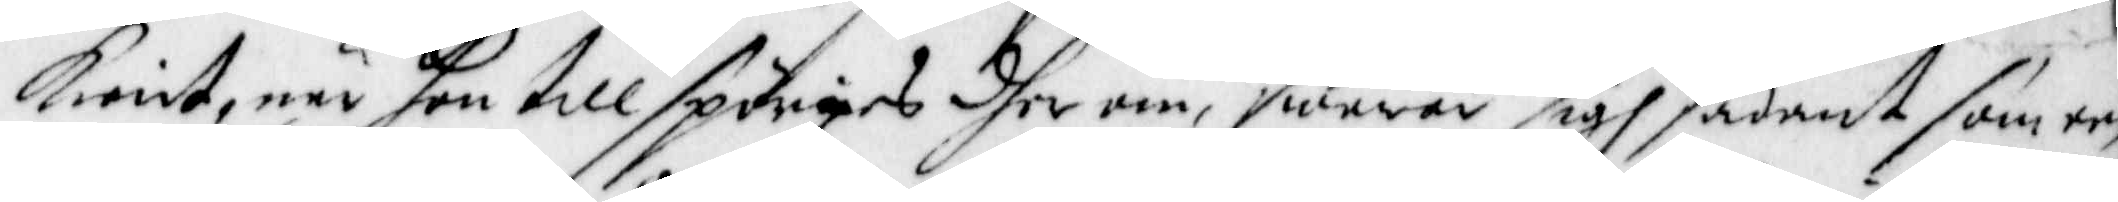Kient, när hon tillspörges dher om, swarar sigh sådant som een
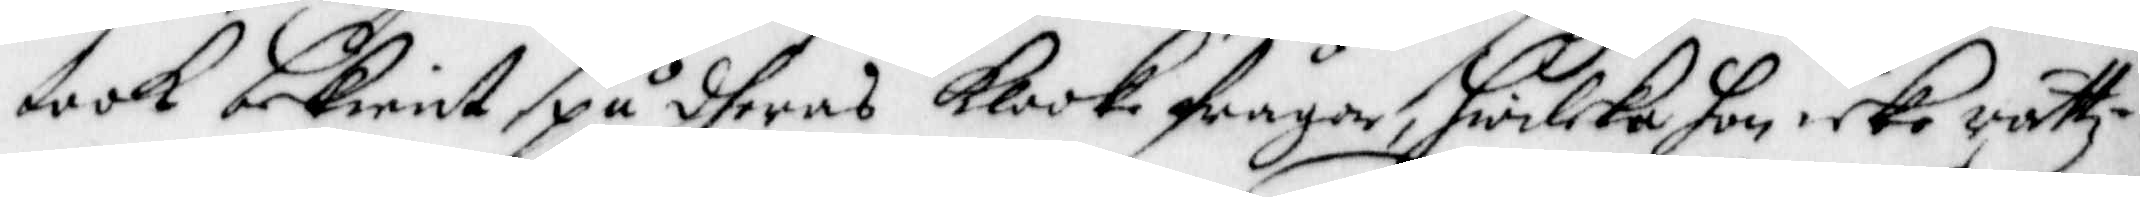took Bekient på dheras Klooke frågor, hwilcka hon icke rättz¬
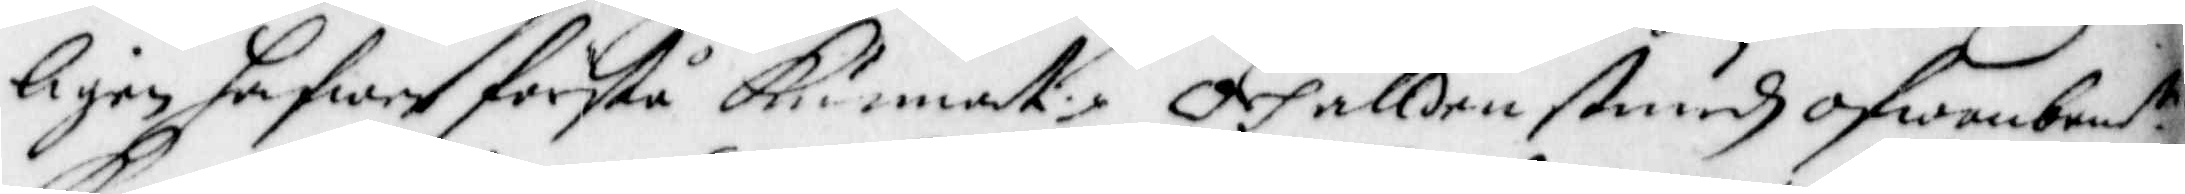ligen hafwer förstå Kunnat. Och alldenstundh ofwanbem:te
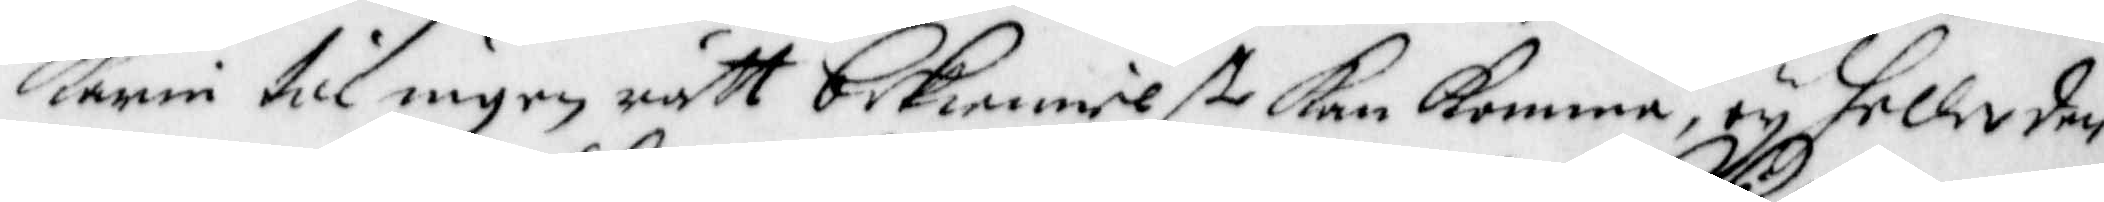Karin till ingen rätt bekiennelße Kan Komma, eij heller den¬
